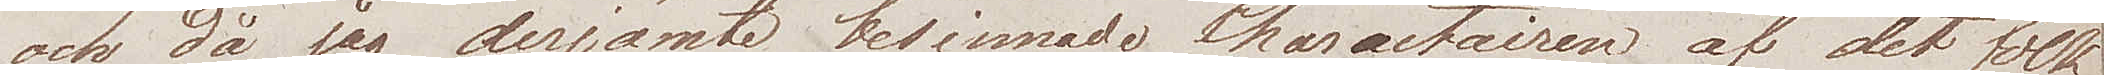och då jag derjämte besinnade Charactairen af det folk
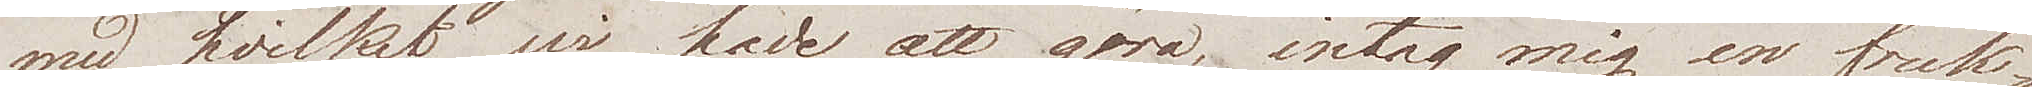med hvilket wi hade att göra, intog mig en fruk¬
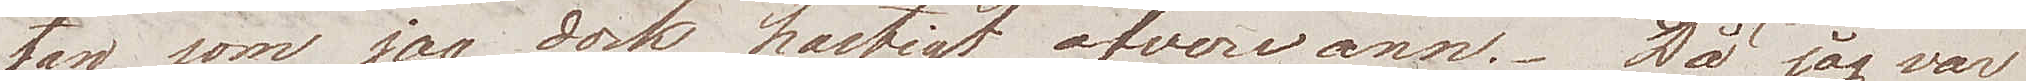tan som jag dock hastigt öfverwann. Då jag var
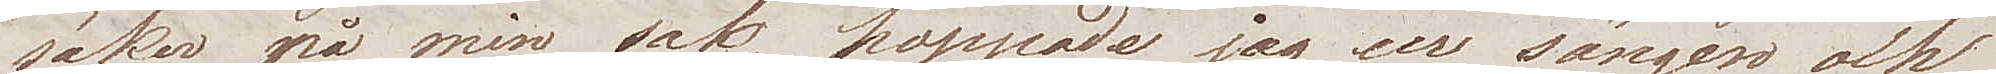säker på min sak, hoppade jag ur sängen och
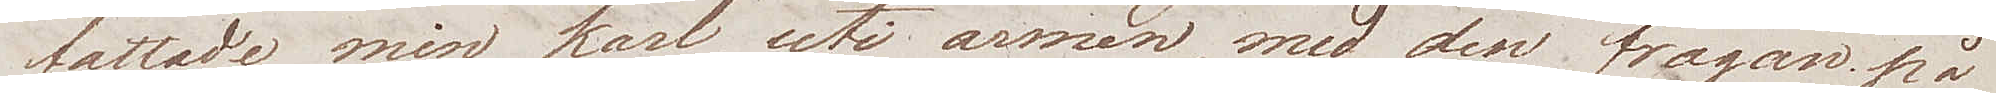fattade min karl uti armen, med den frågan på
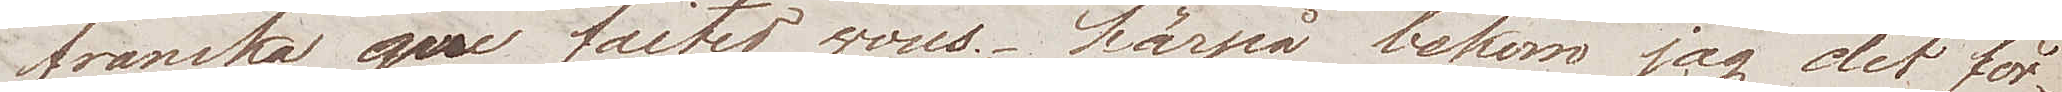franska que faites vous; härpå bekom jag det för¬
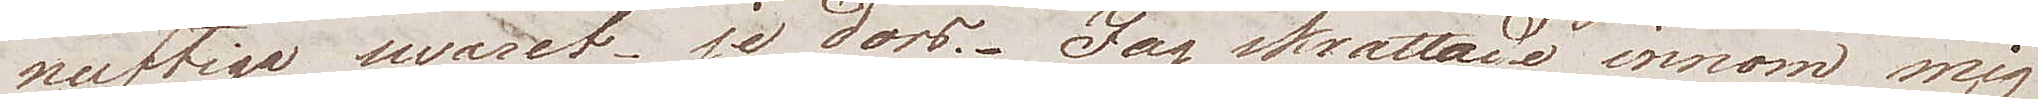nuftiga swaret je dors. Jag skrattade innom mig
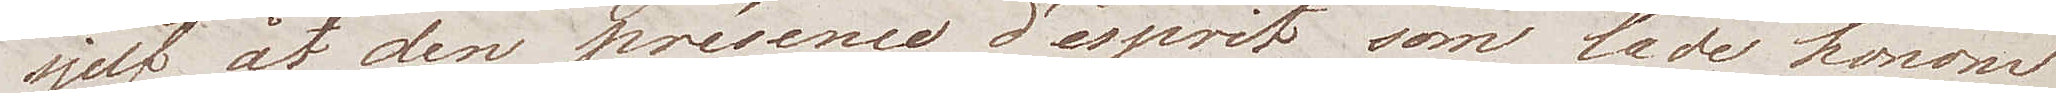sjelf åt den présence d'esprit som lade honom
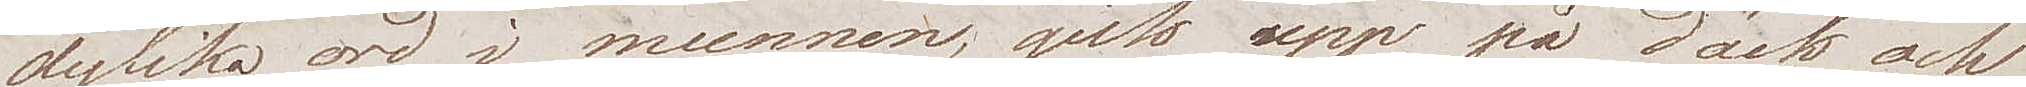dylika ord i munnen, gick upp på däck och
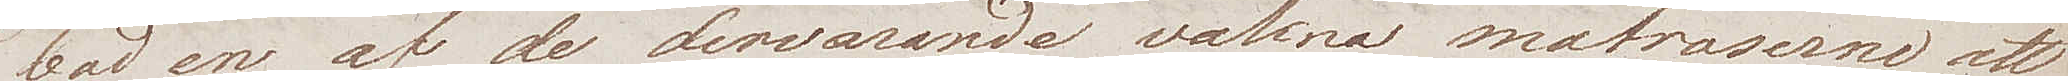bad en af de dervarande vakna matroserne att
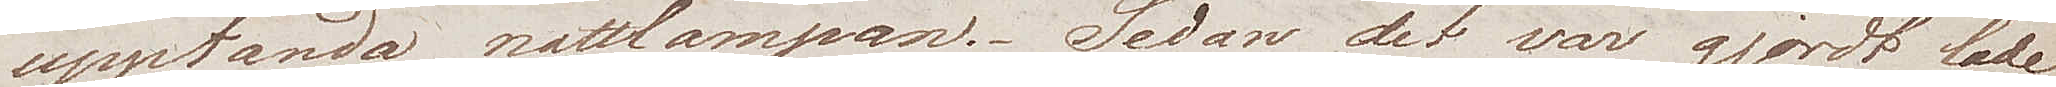upptända nattlampan. Sedan det var gjordt lade
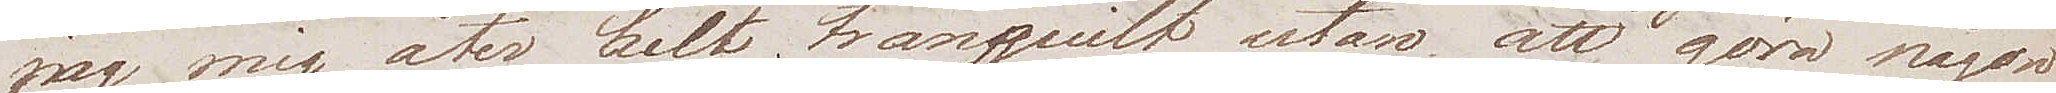jag mig åter helt tranquilt utan att  göra någon
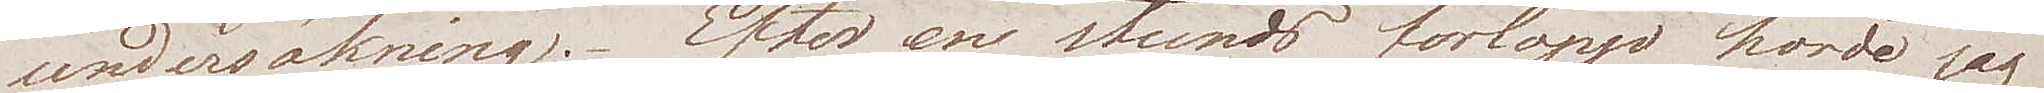undersökning. Efter en stunds förlopp hörde jag
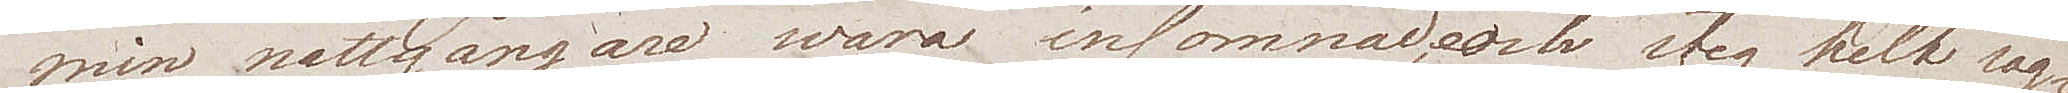min nattgångare wara insomnad, och steg helt sag¬
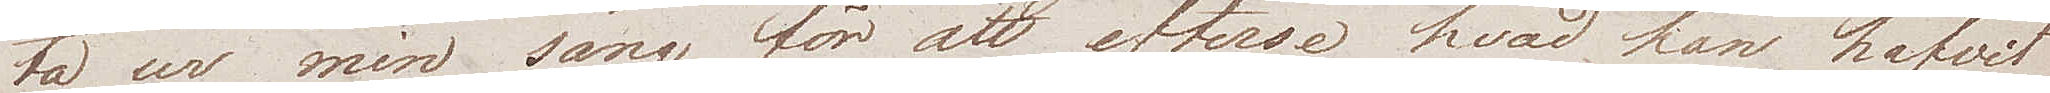ta ur min säng, för att efterse hvad han hafvit
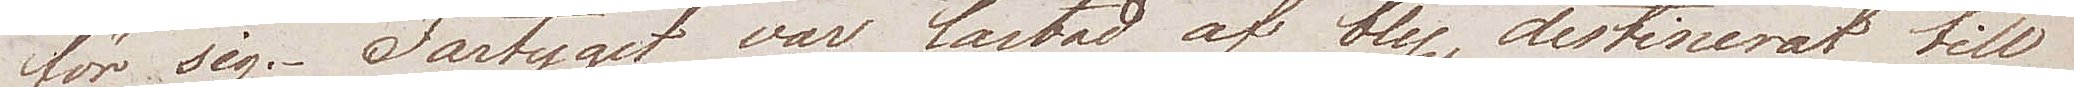för sig. Fartyget var lastad af bly, destinerat till
